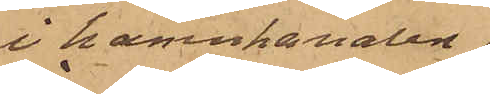i hamnkanalen
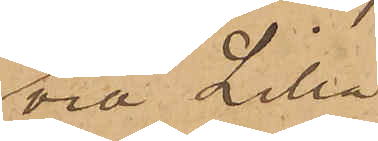vid Lilla
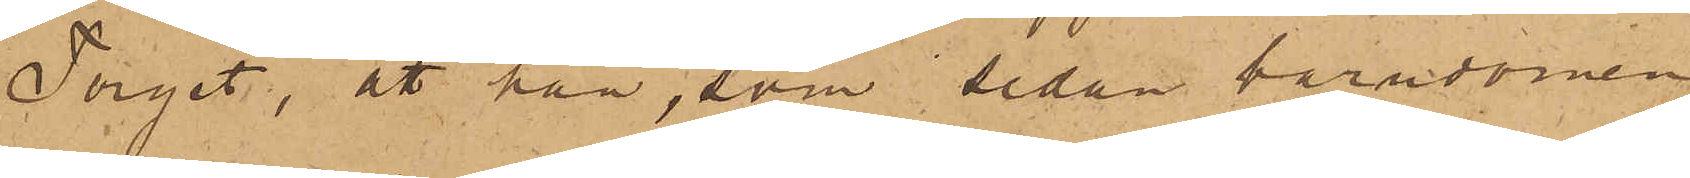Torget, att han, som sedan barndomen
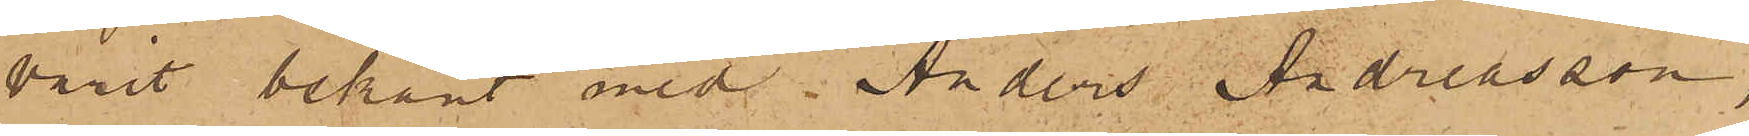varit bekant med Anders Andreasson,
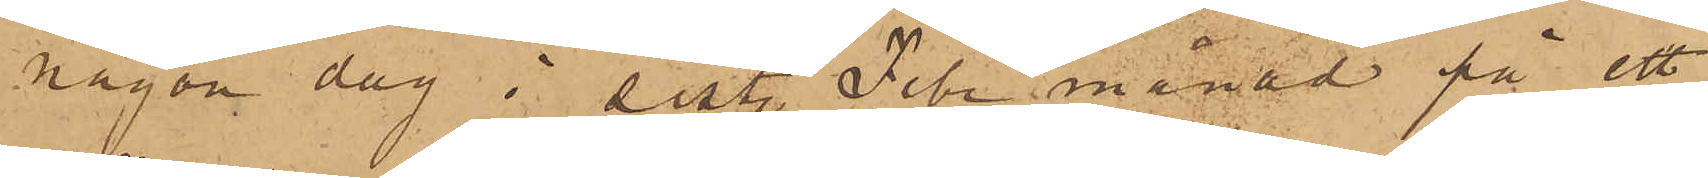någon dag i sist. Febr månad på ett
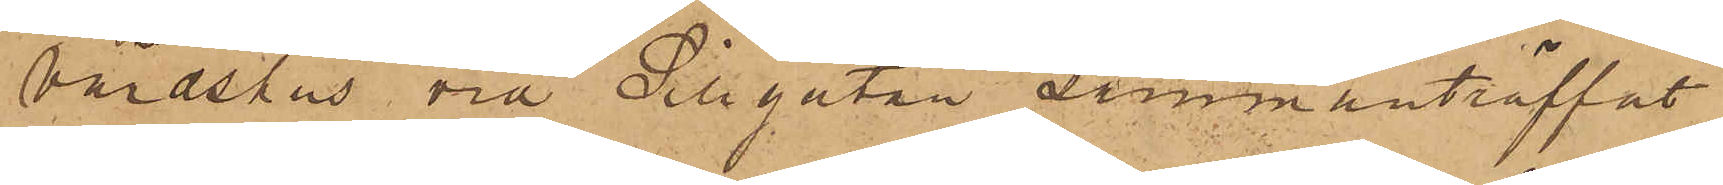Värdshus vid Sillgatan sammanträffat
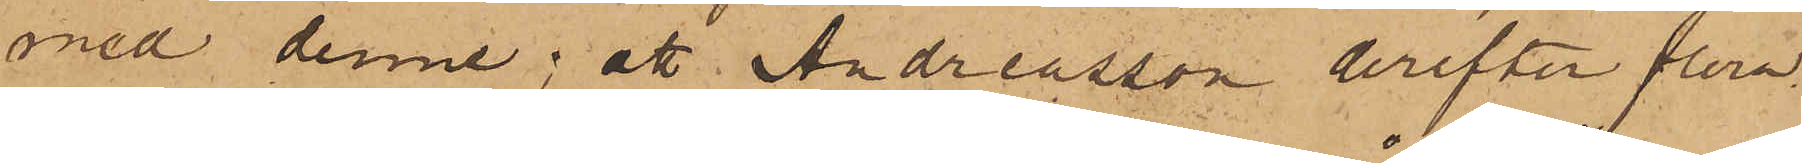med denne; att Andreasson derefter flera
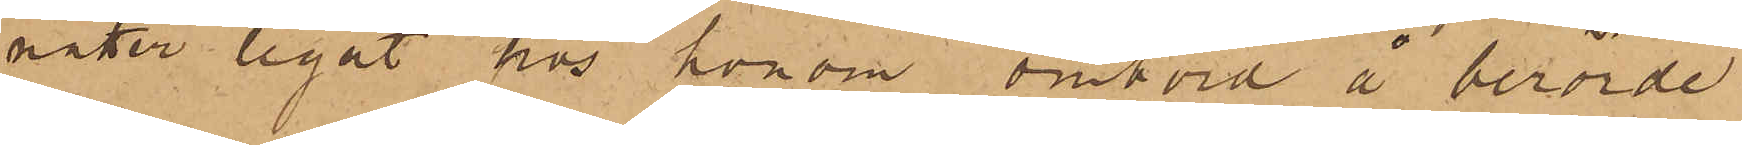nätter legat hos honom ombord å berörde
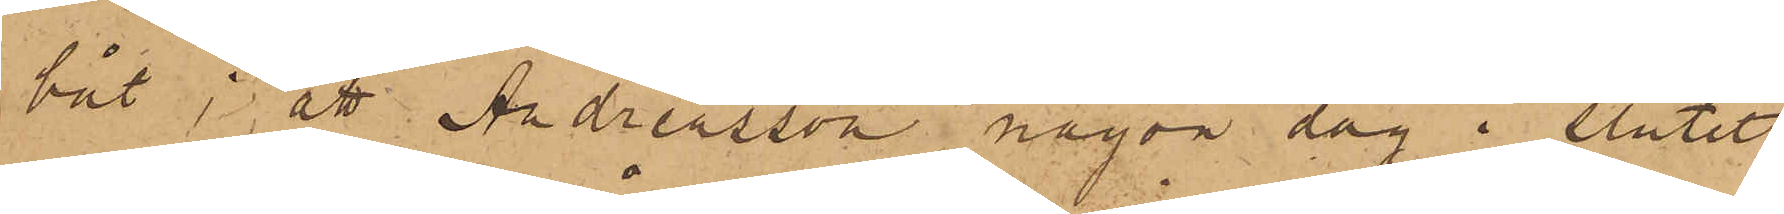båt; att Andreasson någon dag i slutet
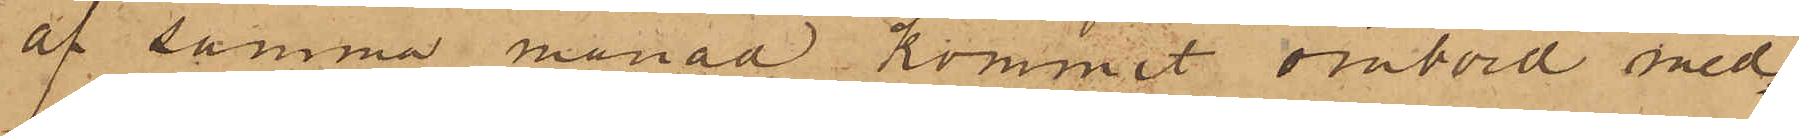af samma månad kommit ombord med¬
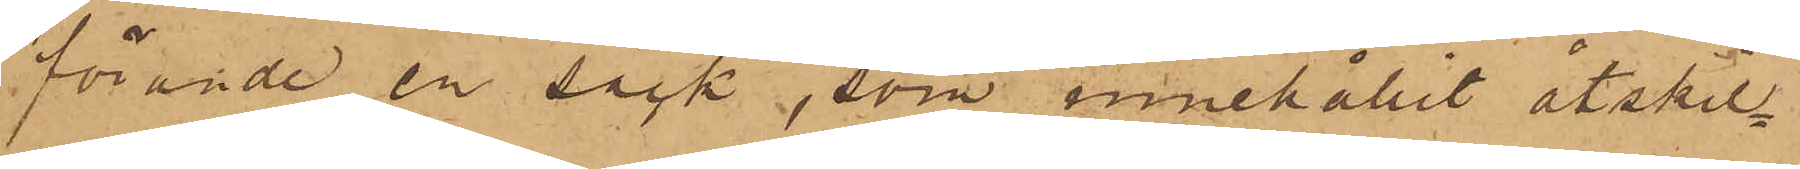förande en säck, som innehållit åtskil¬
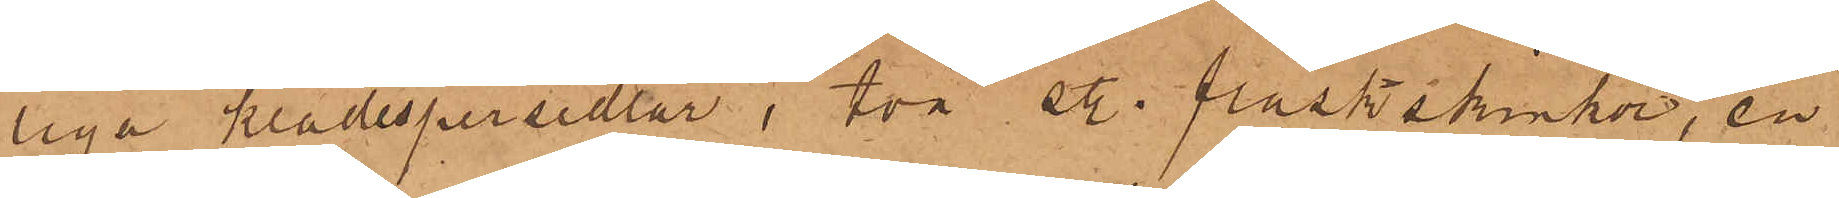liga klädespersedlar, två st. fläskskinkor, en
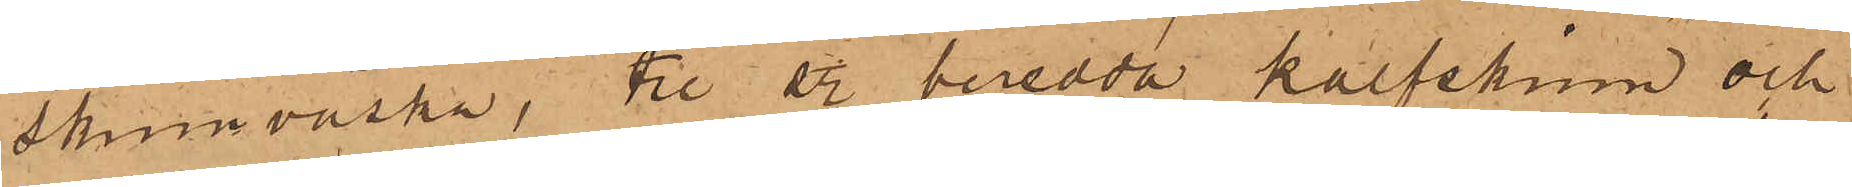skinnväska, tre st. beredda kalfskinn och
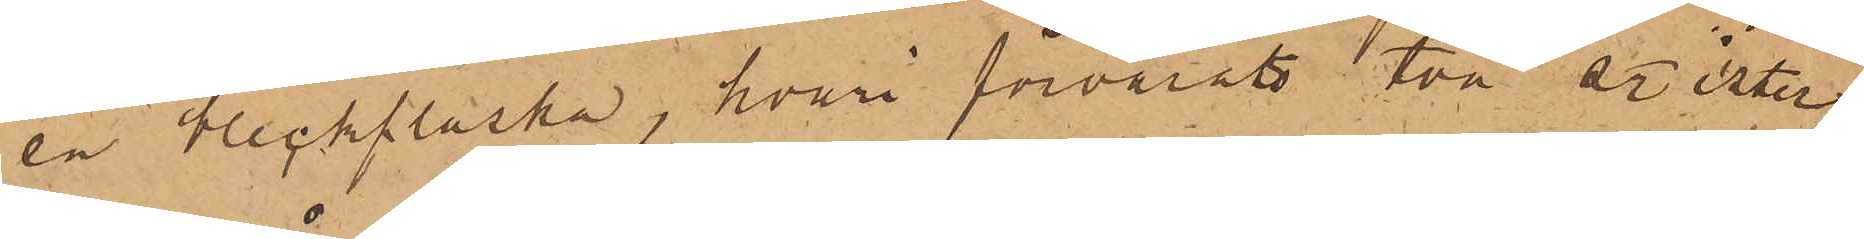en bleckflaska, hvari förvarats två  qr. ister
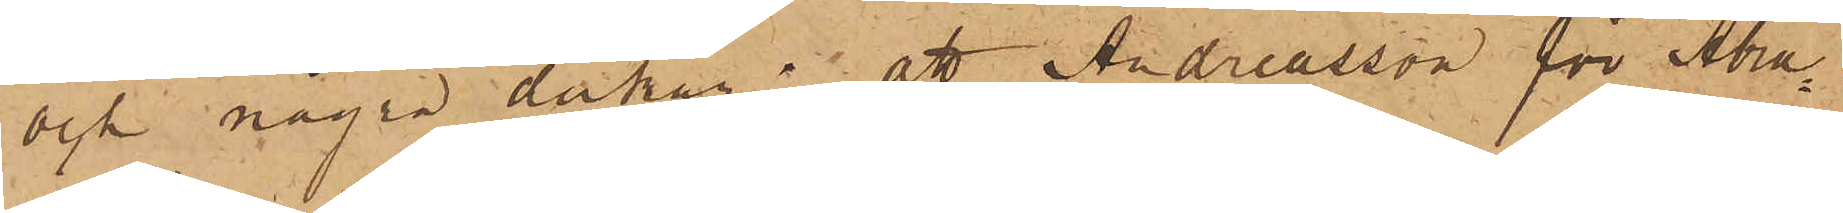och några dukar; att Andreasson för Abra¬
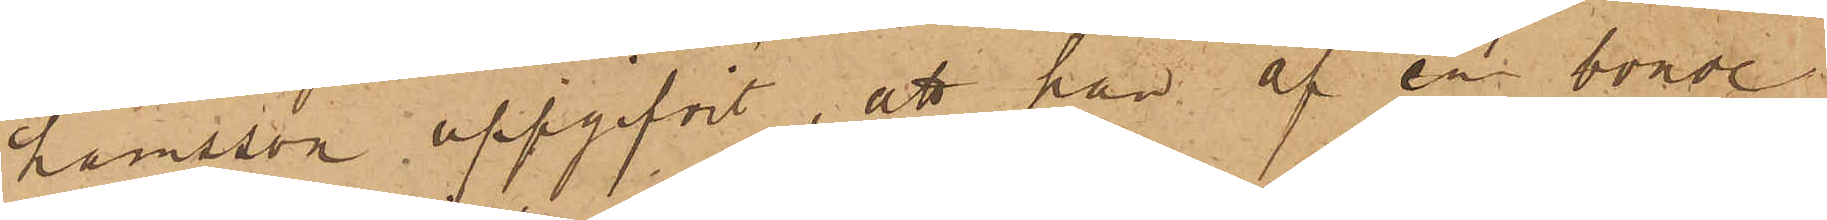hamsson uppgifvit, att han af en bonde
